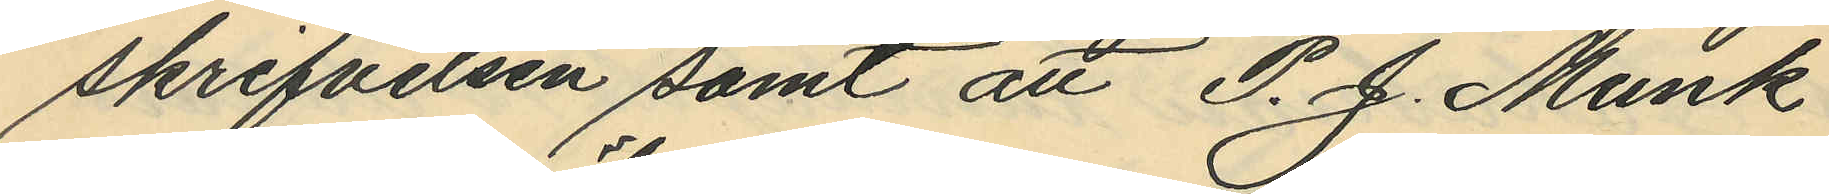skrifvelsen samt att P. J. Munk
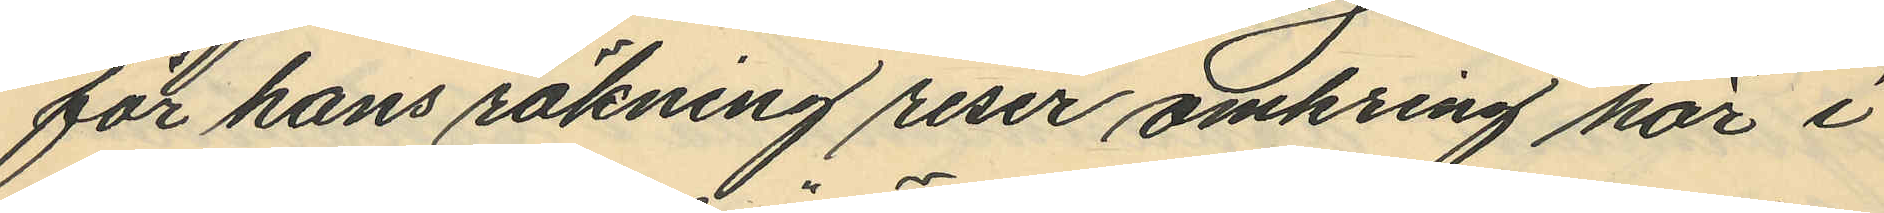för hans räkning reser omkring här i
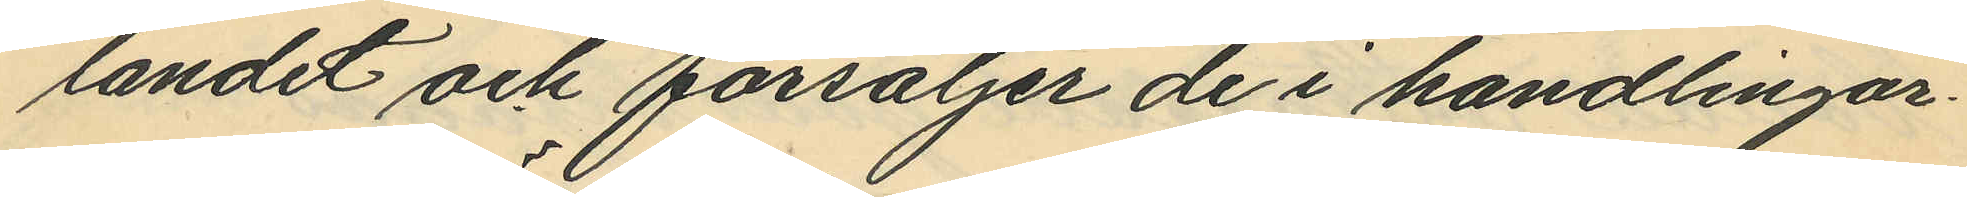landet och försäljer de i handlingar¬
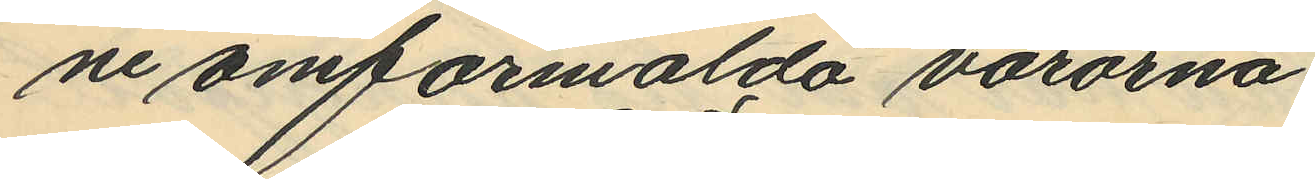ne omförmälda varorna.
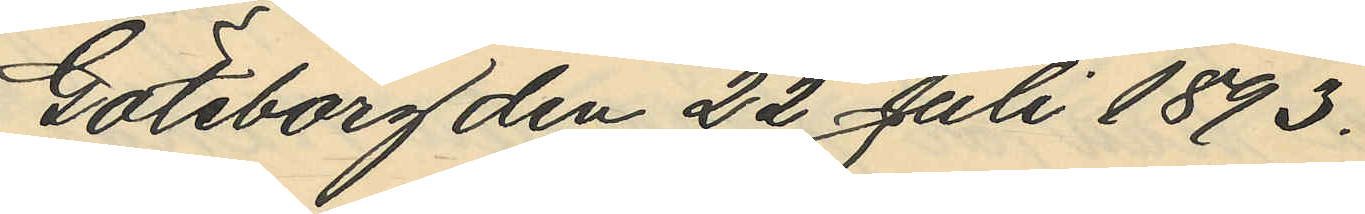Göteborg den 22 Juli 1893.
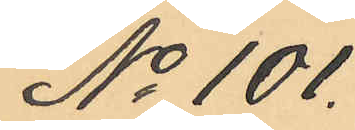No 101.
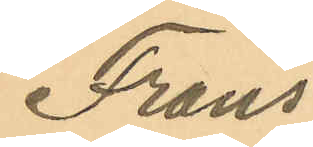Frans
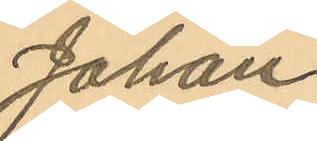Johan
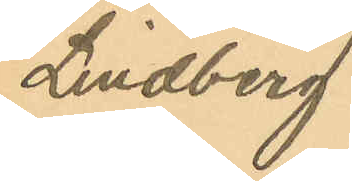Lindberg
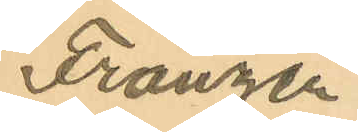Franzén
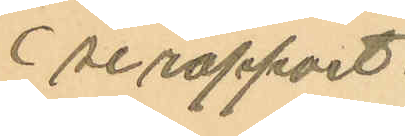(se rapport.
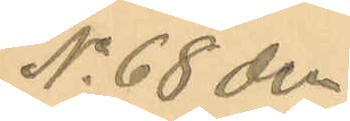No 68 den
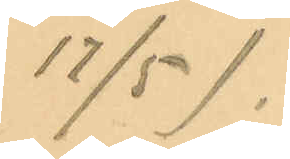17/5).
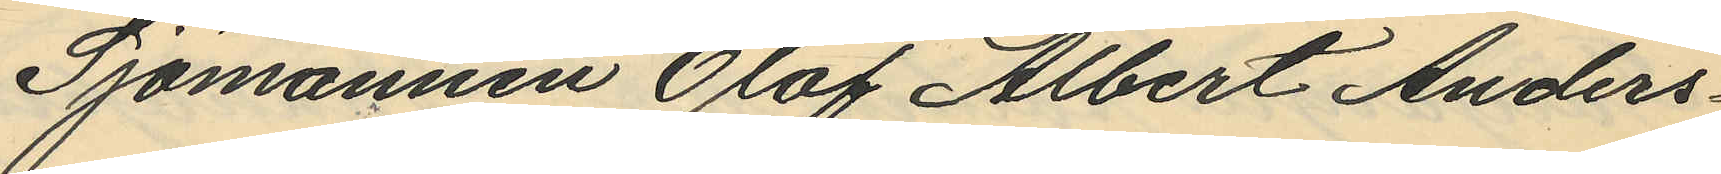Sjömannen Olof Albert Anders¬
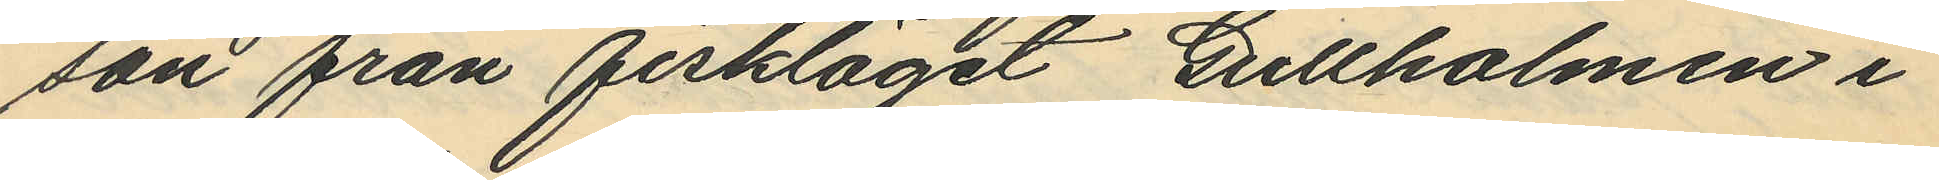son från fiskläget Gullholmen i
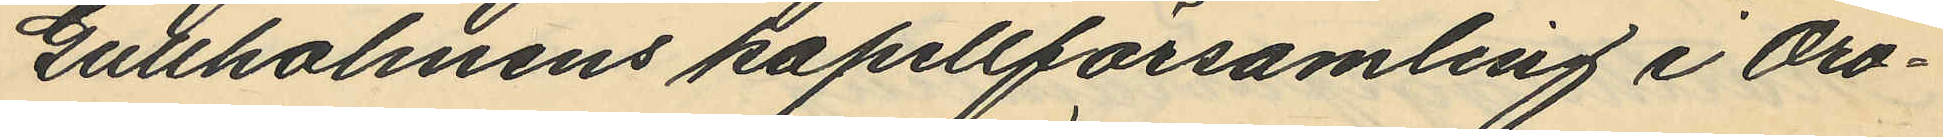Gullholmens kapellförsamling i Oro¬
